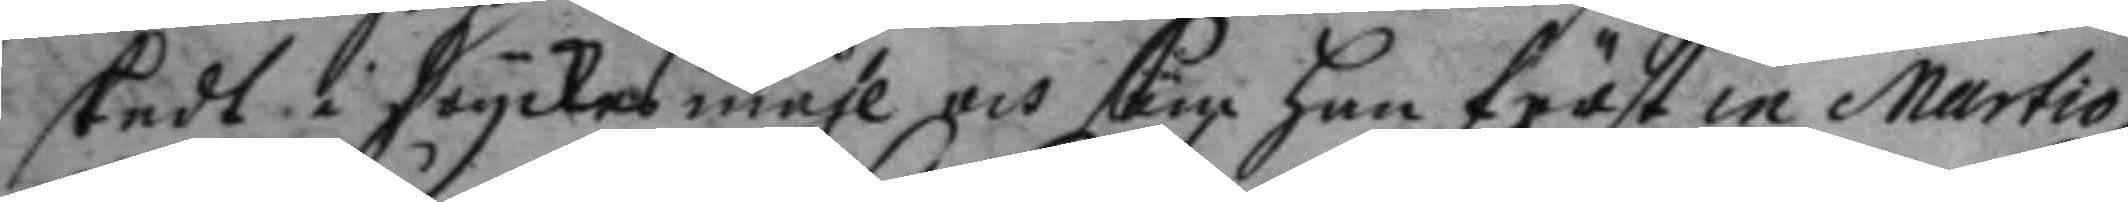skedt i dryckesmåhl och som han först in Martio
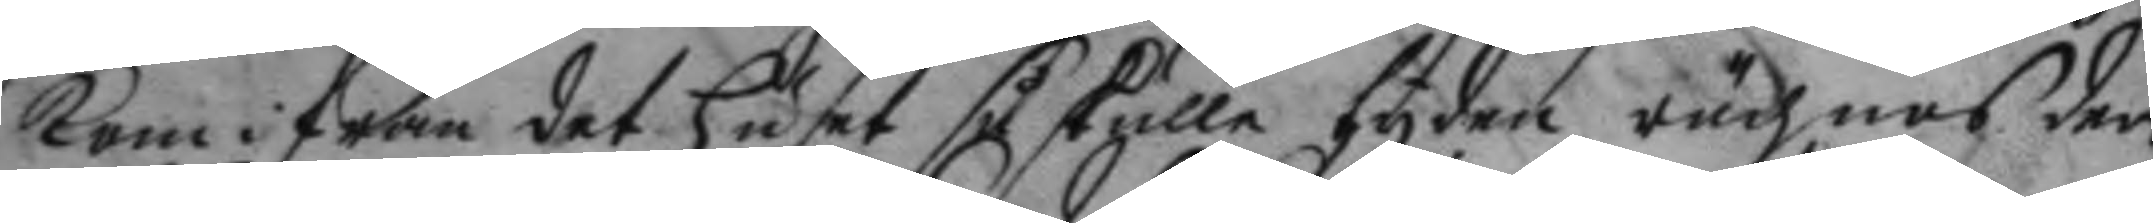kom ifrån det huset så skulle tyden rächnas der
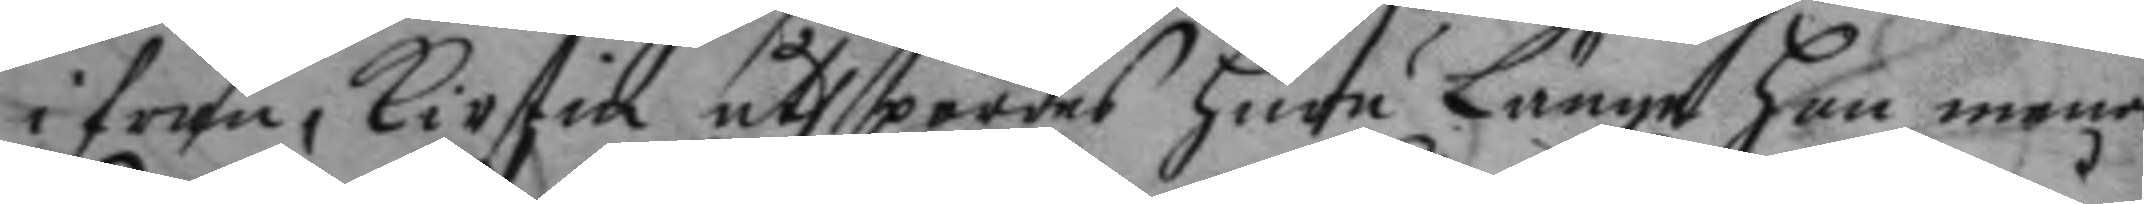i från, Kirstin åthspordes huru Länge hon menar
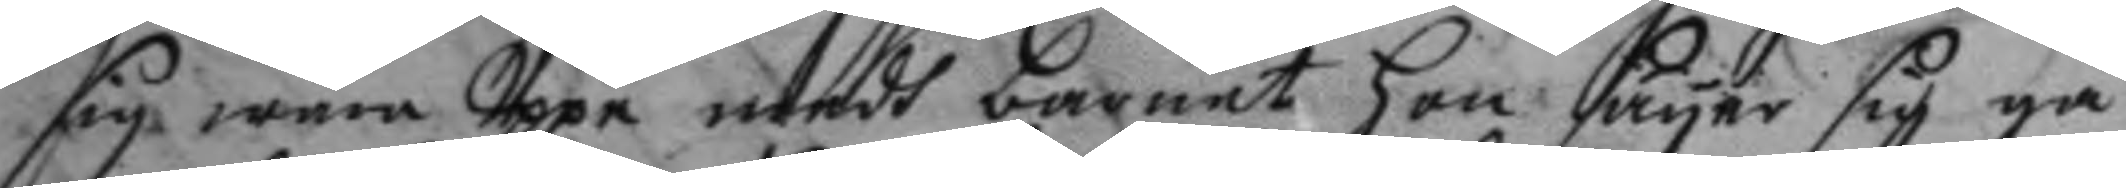sig wara Uppe medh barnet hon säyer sig gå
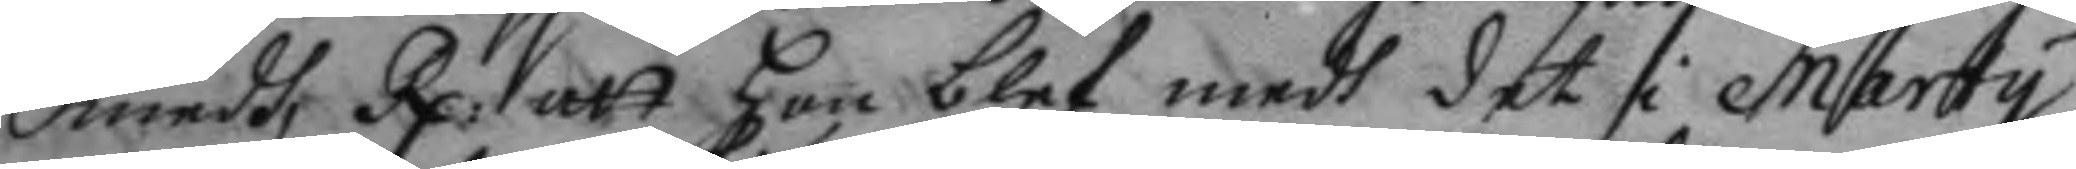medh, Rp: att hon blef medh det i Marty
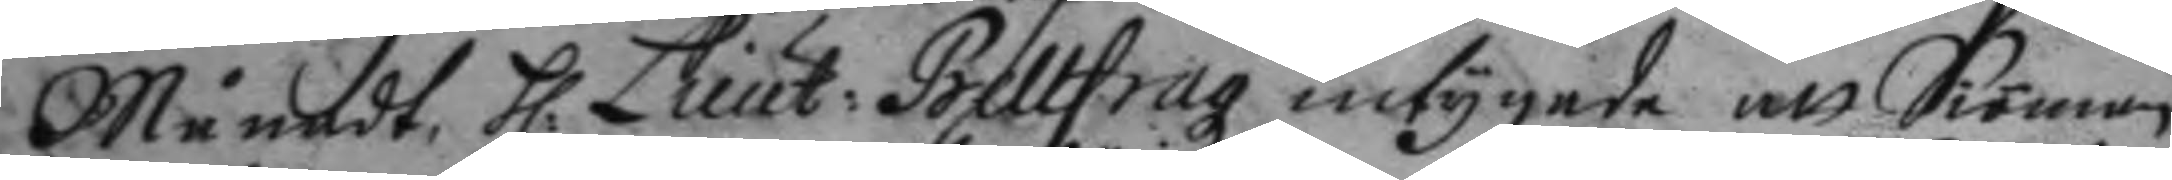Månadt, h: Lieut: Bellfragz intygede att Siöman
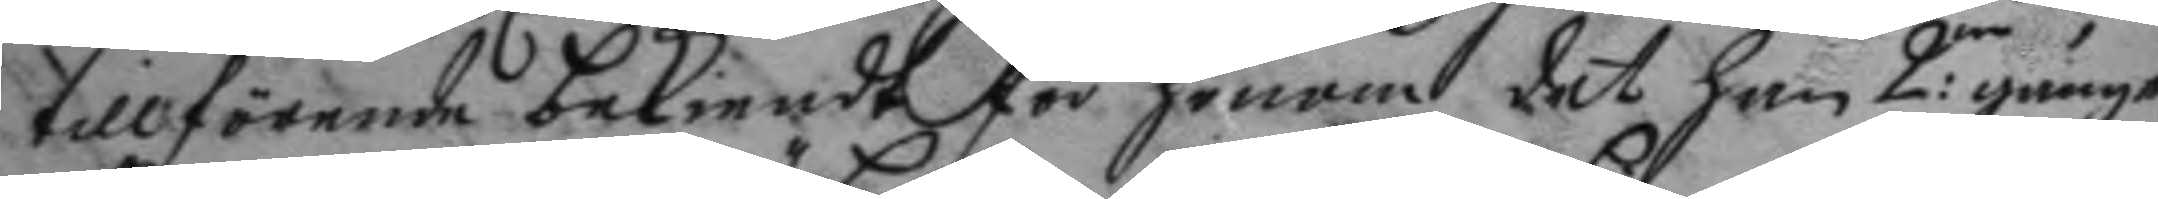tillförende bekiendt för honom det han 2:ne gånger
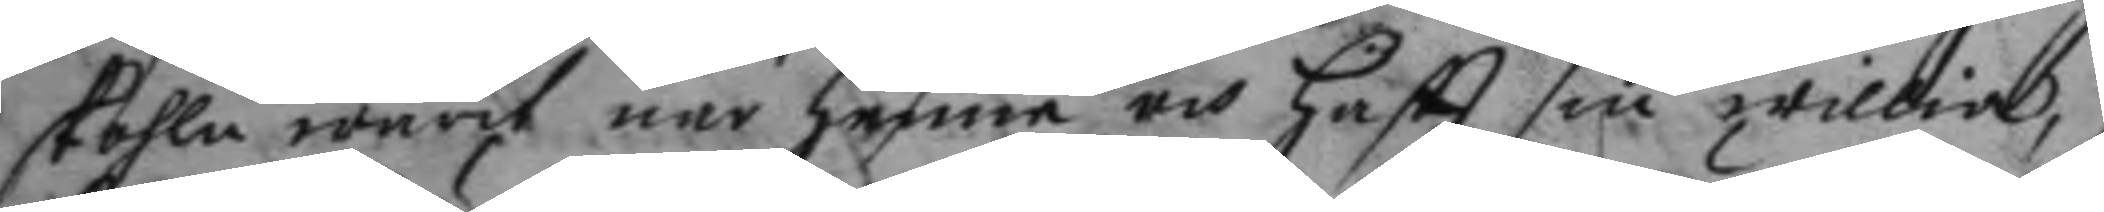skohla warit när henne och haftt sin willia,
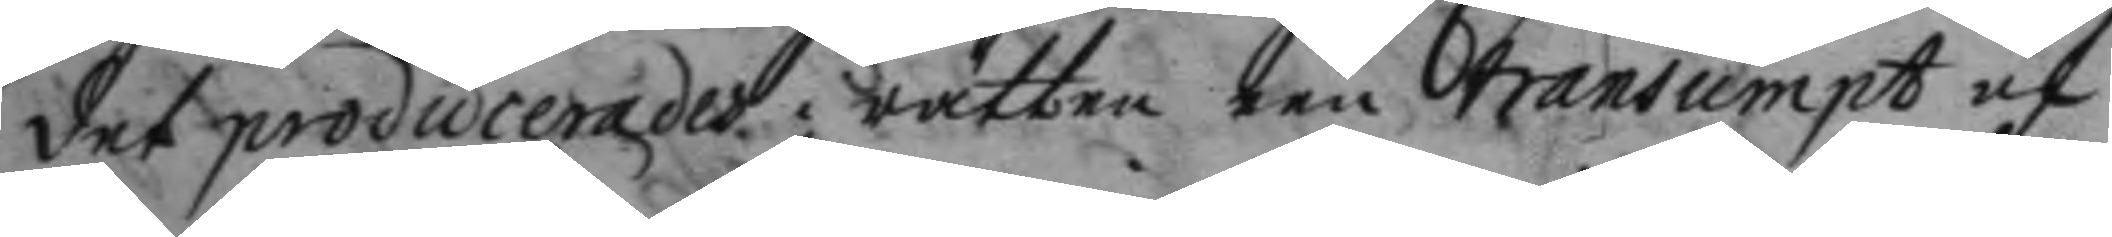det producerades i rätten een transumpt af
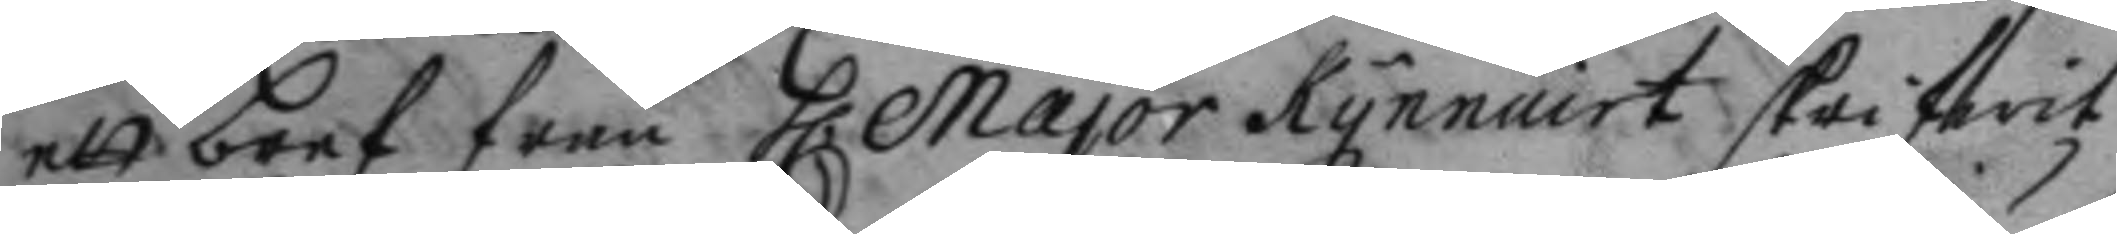ett bref från h. Major Kynnairt skrifwit
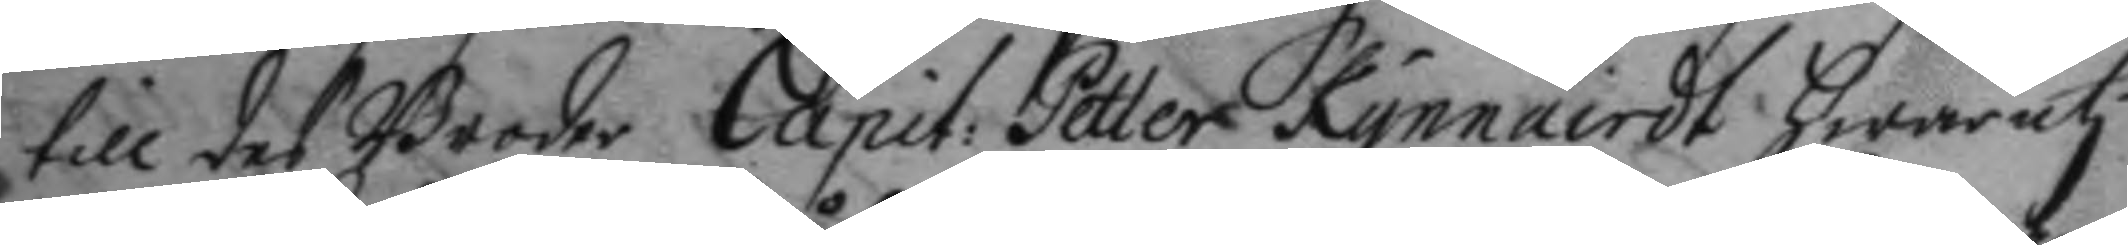till des Broder Capit: Petter Kynnairdt hwaruti
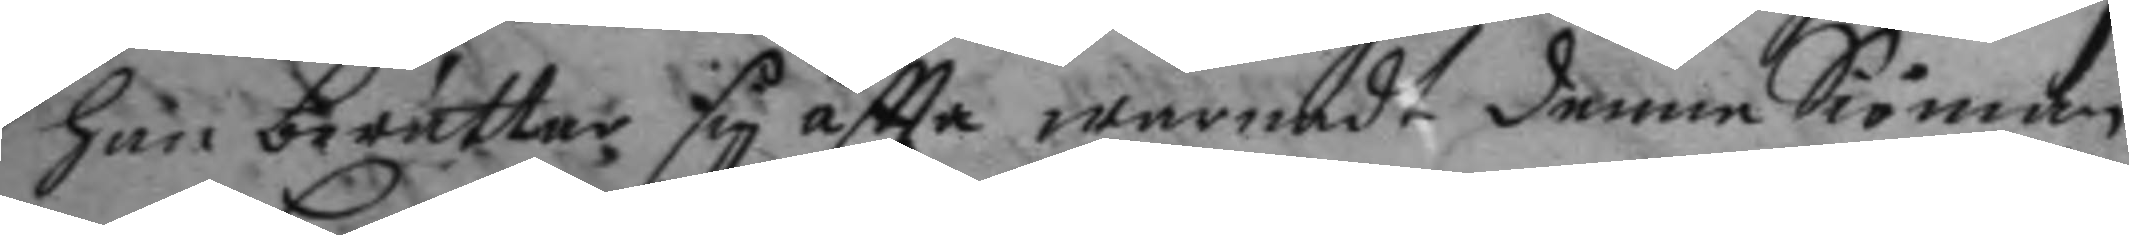han berättar sig åftta warnadt denne Siöman
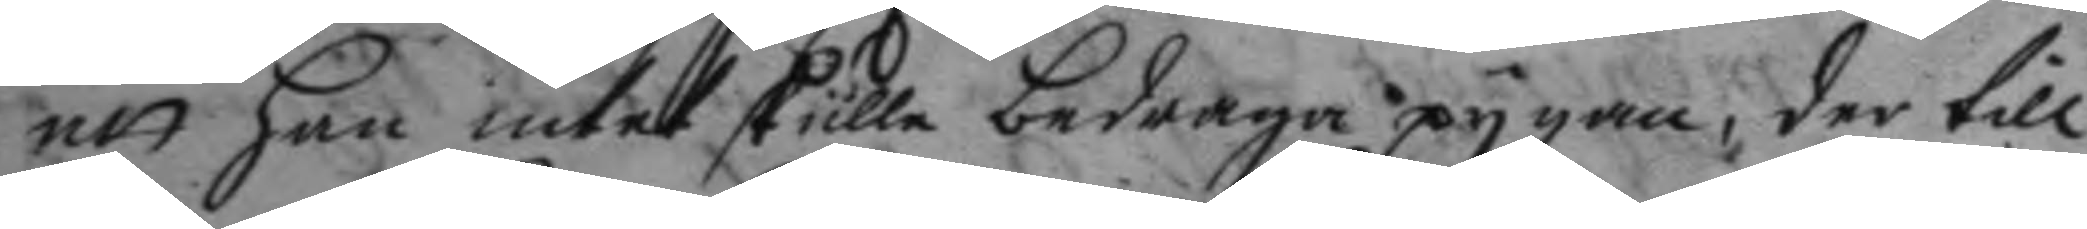att han intet skulle bedraga pygan, der till
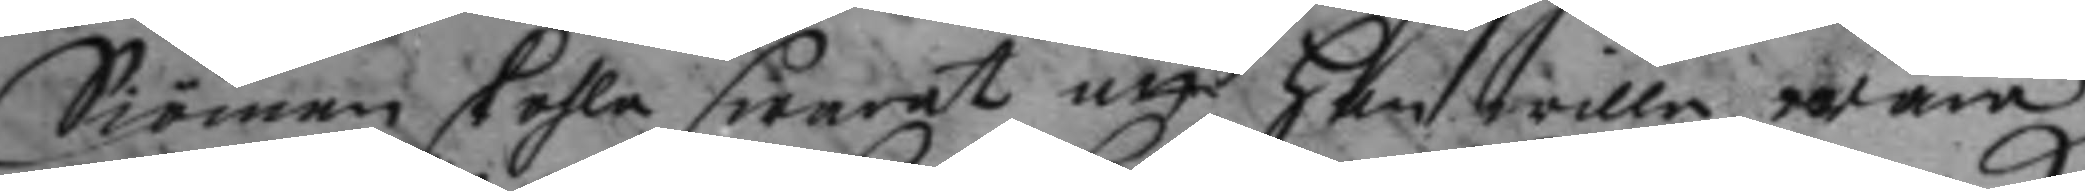Siöman skohla swarat att han wille wara
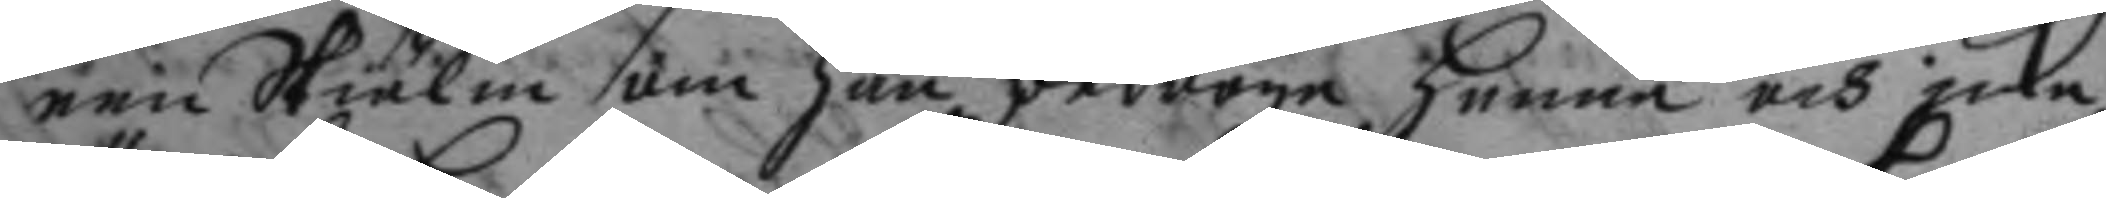een Skiälm om han bedrogo henne och icke
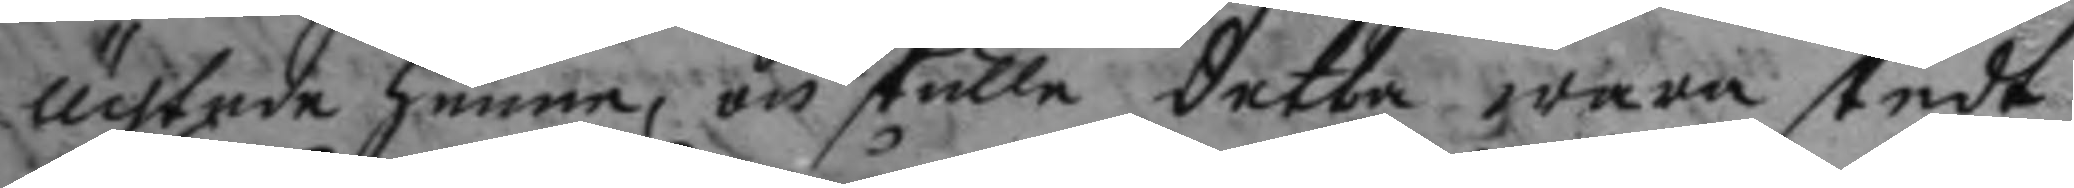ächtade henne, och skulle detta wara skedt
